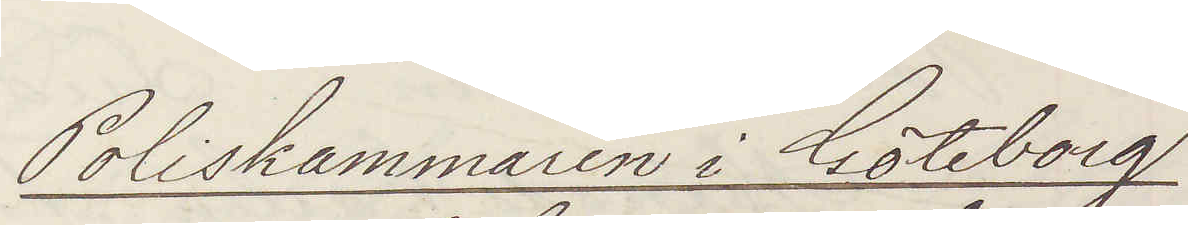Poliskammaren i Göteborg
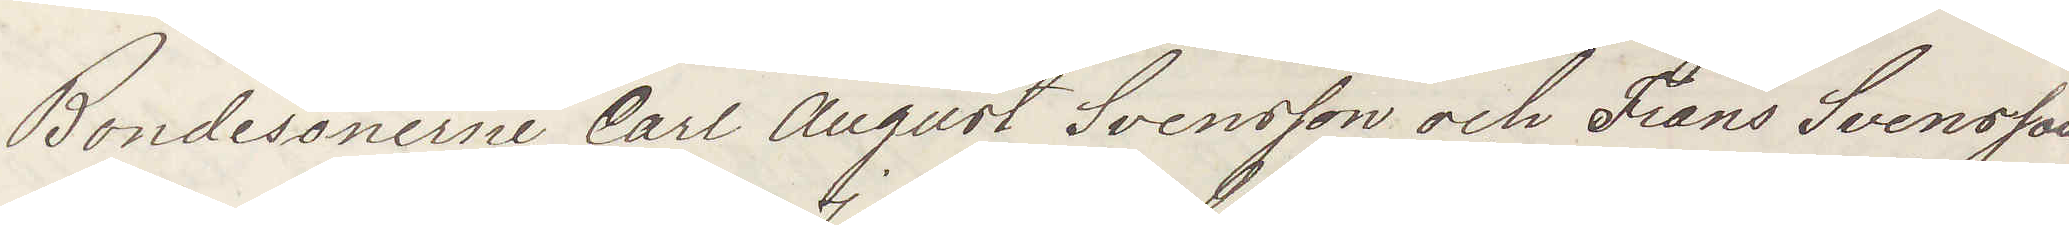Bondesönerne Carl August Svensson och Frans Svensson
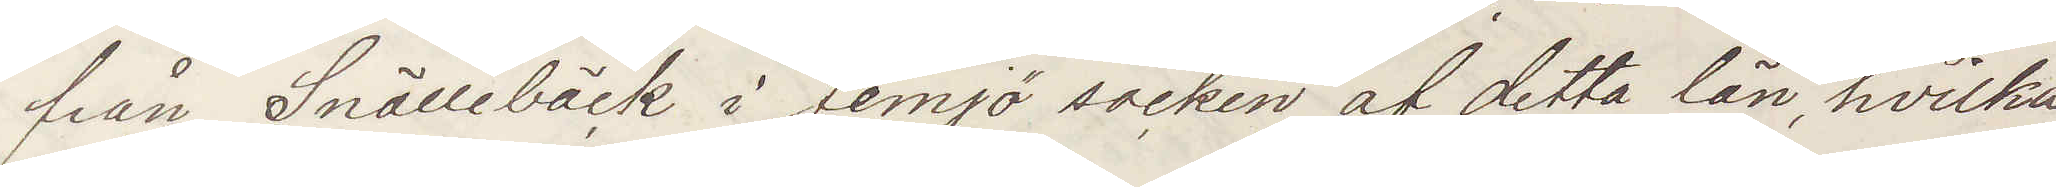från Snällebäck i Jemjö socken af detta län, hvilka
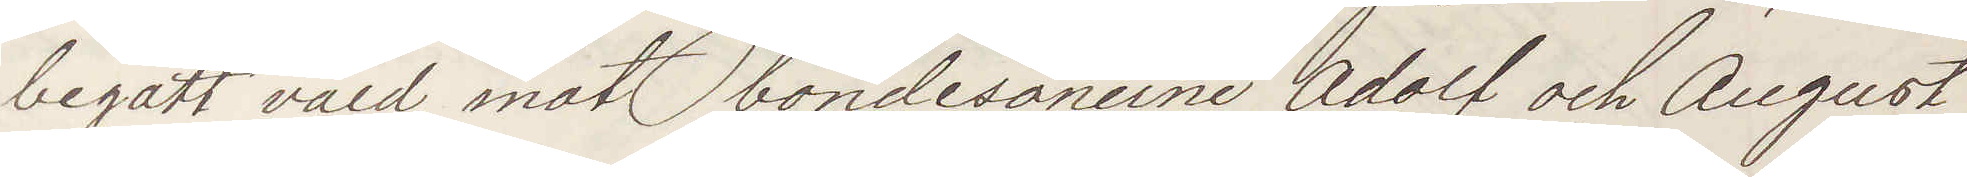begått våld mot bondesönerne Adolf och August
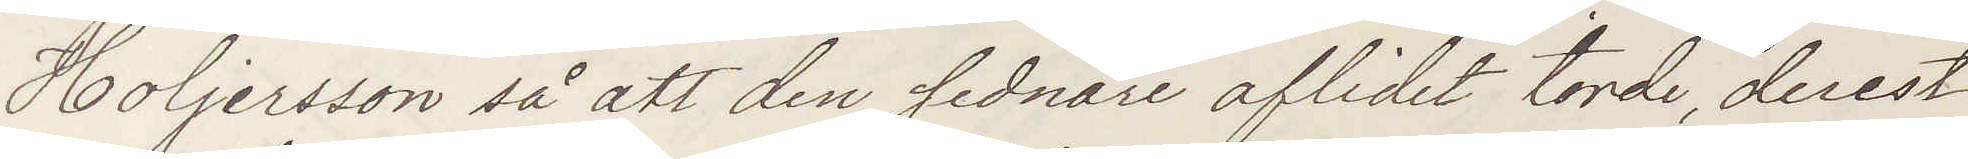Holjersson så att den sednare aflidit torde, derest
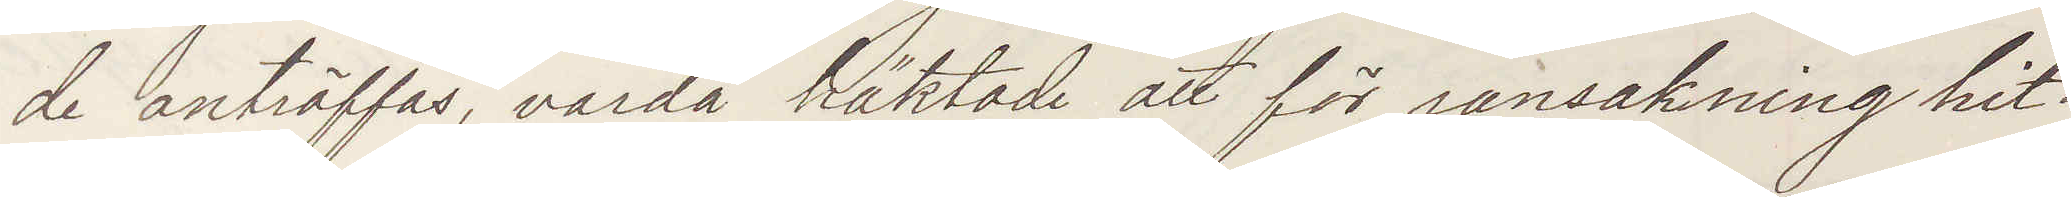de anträffas, varda häktade att för ransakning hit¬
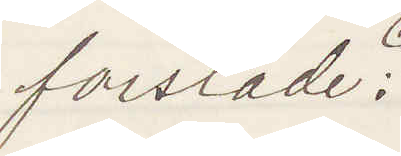forslade:
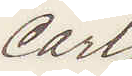Carl
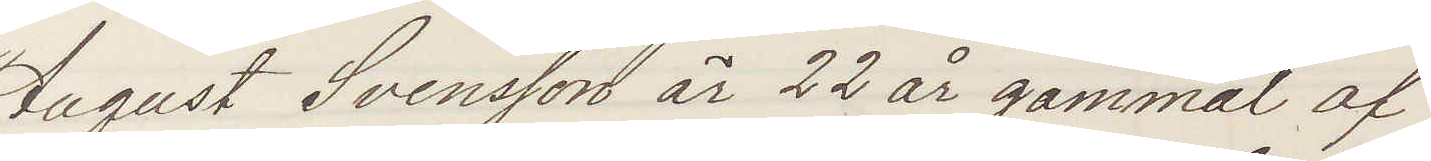August Svensson är 22 år gammal af
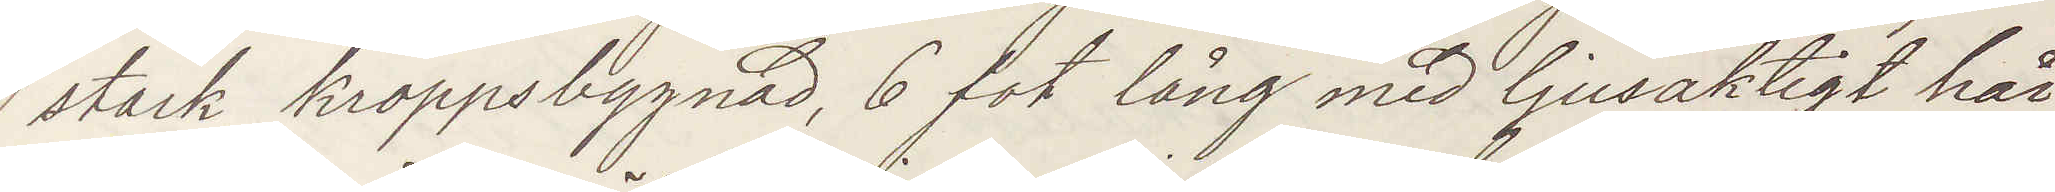stark kroppsbyggnad, 6 fot lång med ljusaktigt hår
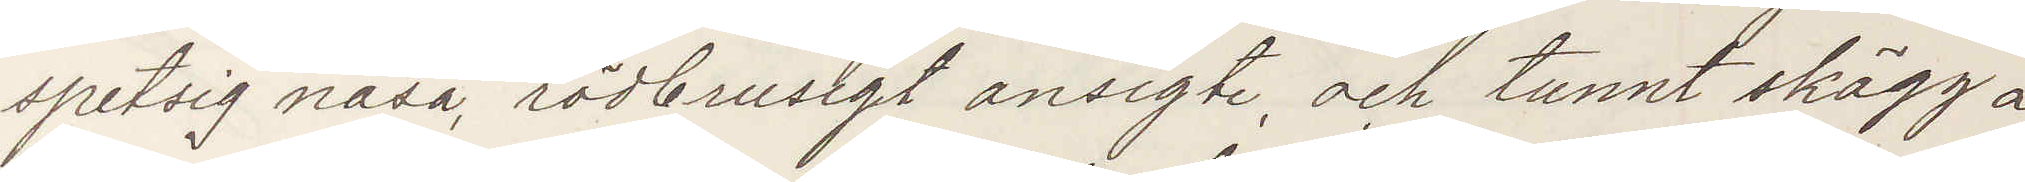spetsig näsa, rödbrusigt ansigte, och tunnt skägg å
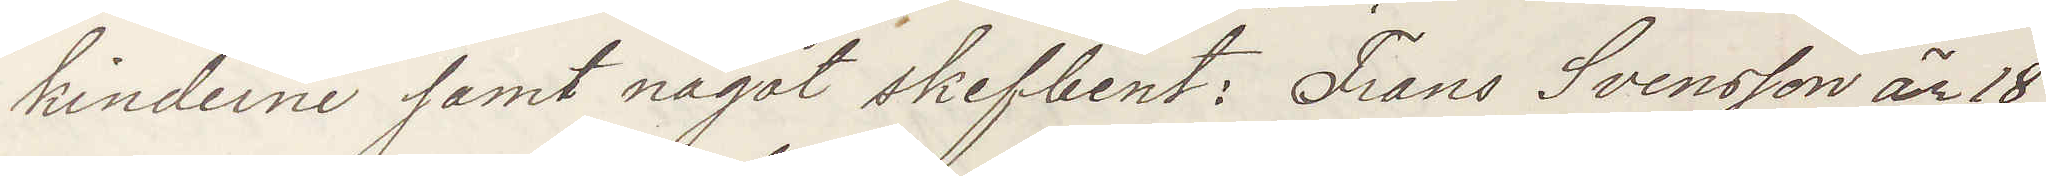kinderne samt något skefbent: Frans Svensson är 18
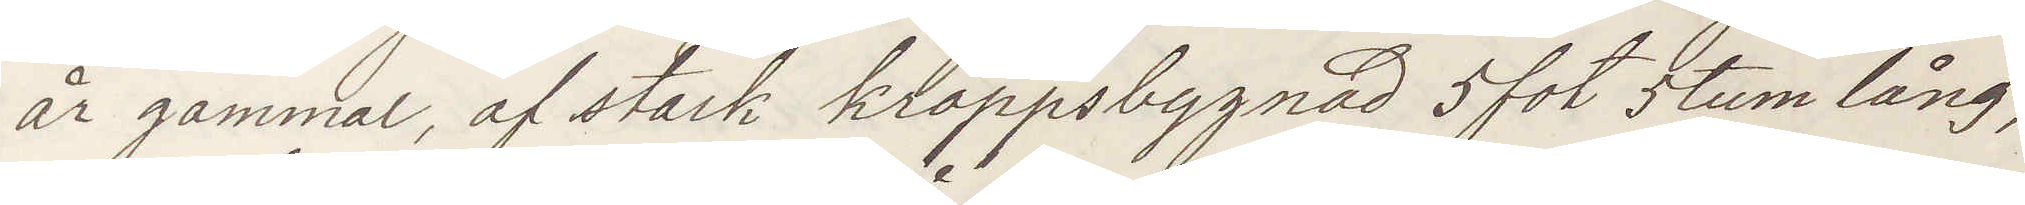år gammal, af stark kroppsbyggnad 5 fot 5 tum lång,
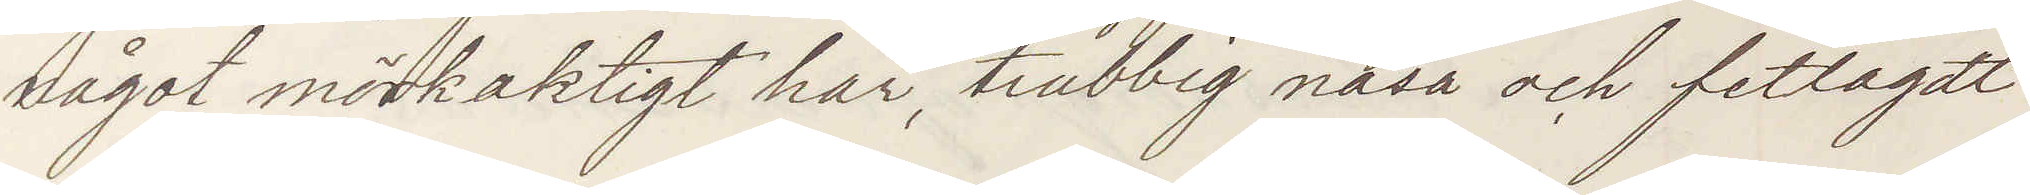något mörkaktigt hår, trubbig näsa och fetlagdt
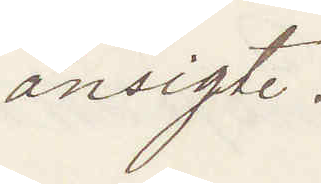ansigte.
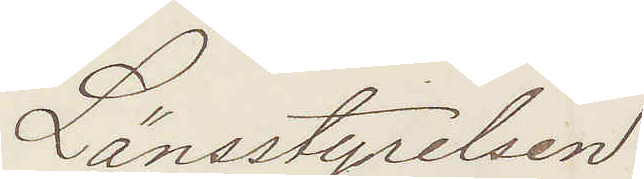Länsstyrelsen.
